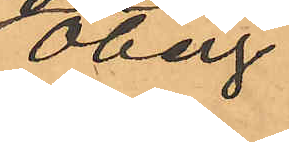Öberg
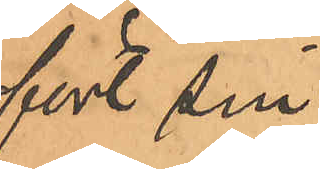fört sin
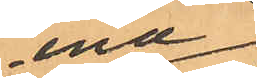ena
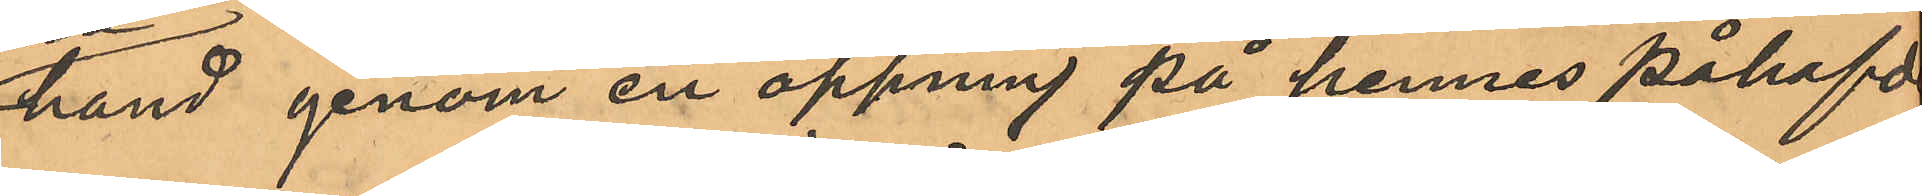hand genom en öppning på hennes påhafda
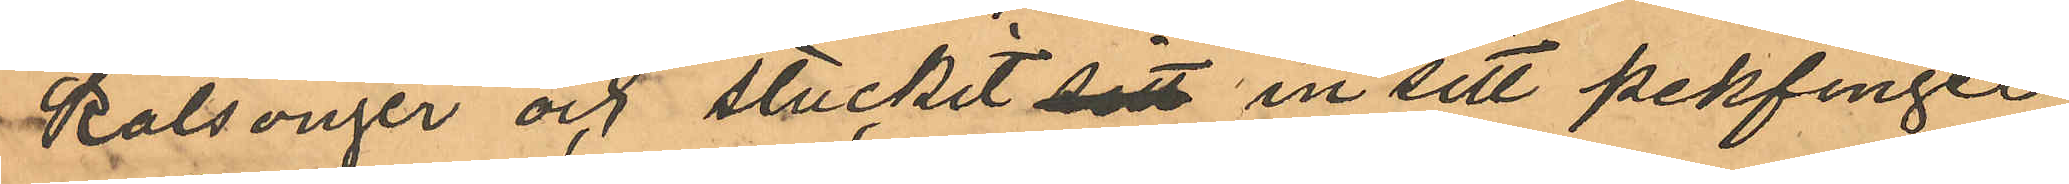kalsonger och stuckit sitt in sitt pekfinger
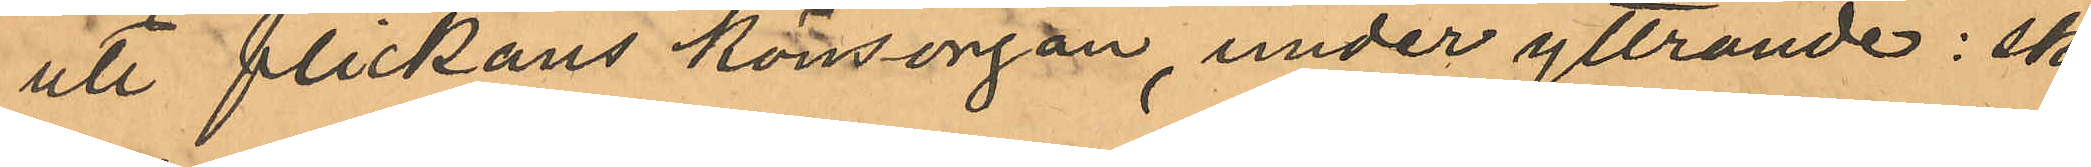uti flickans könsorgan, under yttrande: ska
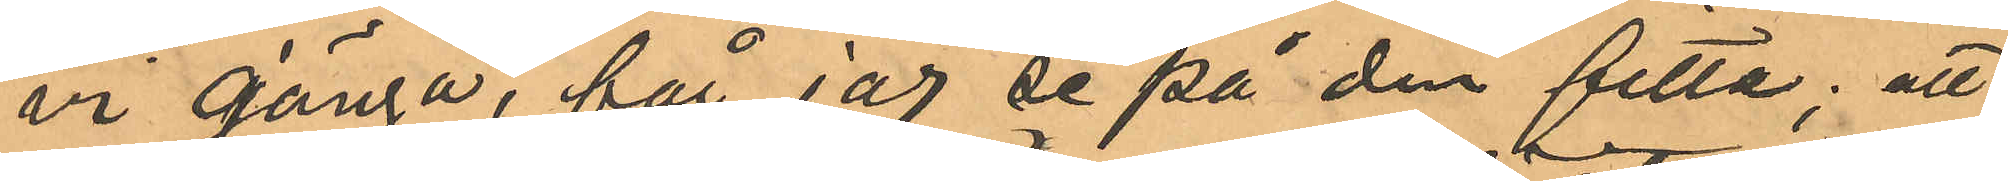vi gänga, får jag se på din fitta; att
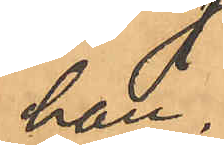han
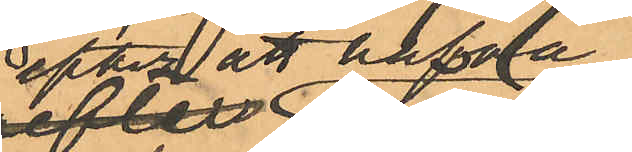efter att hafva
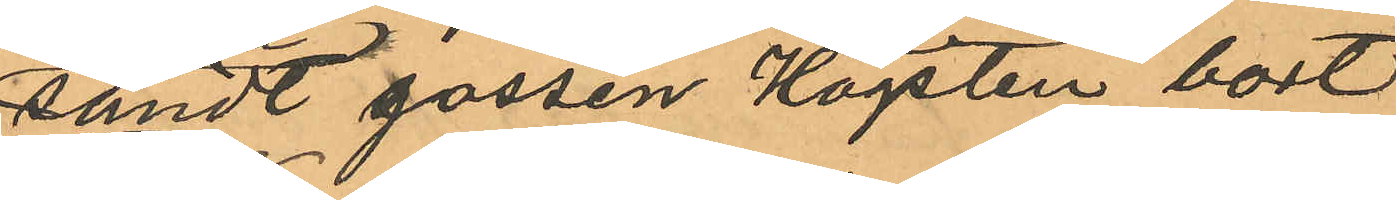sändt gossen Högsten bort
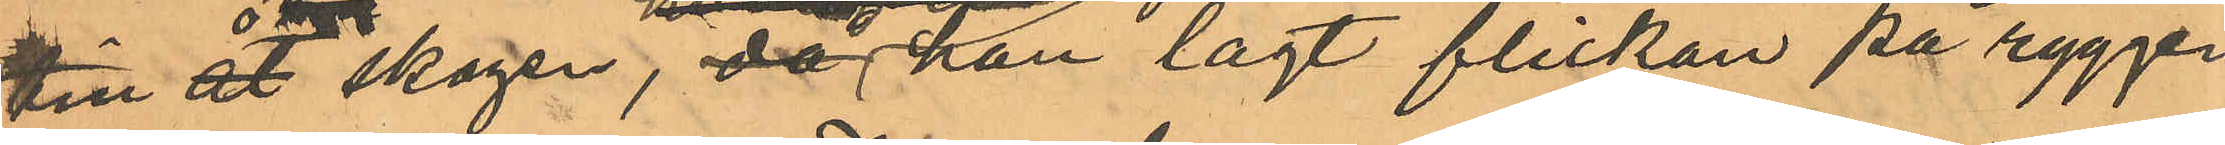till åt skogen, då han lagt flickan på ryggen
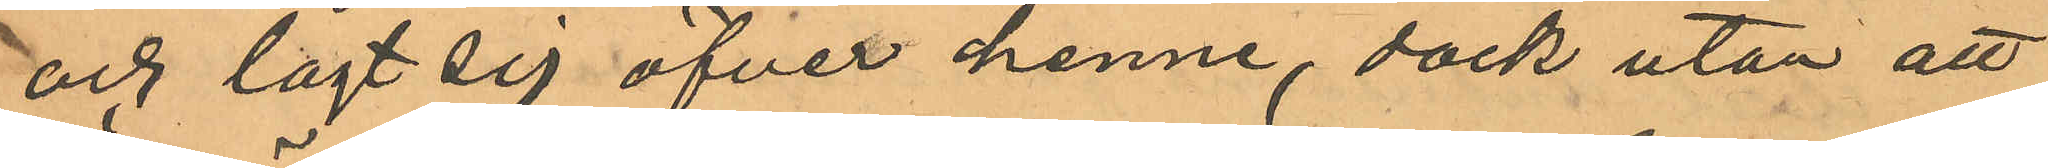och lagt sig öfver henne, dock utan att
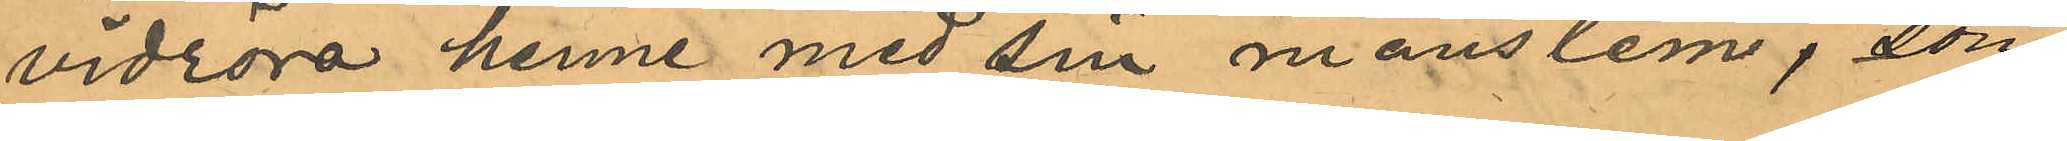vidröra henne med sin manslem, som
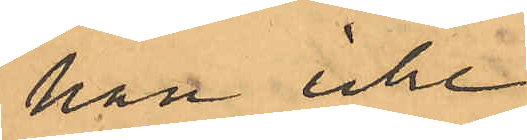han icke
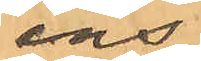ens
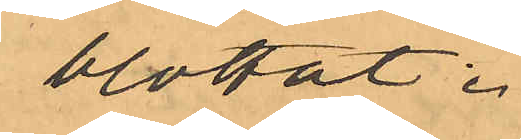blottat.
